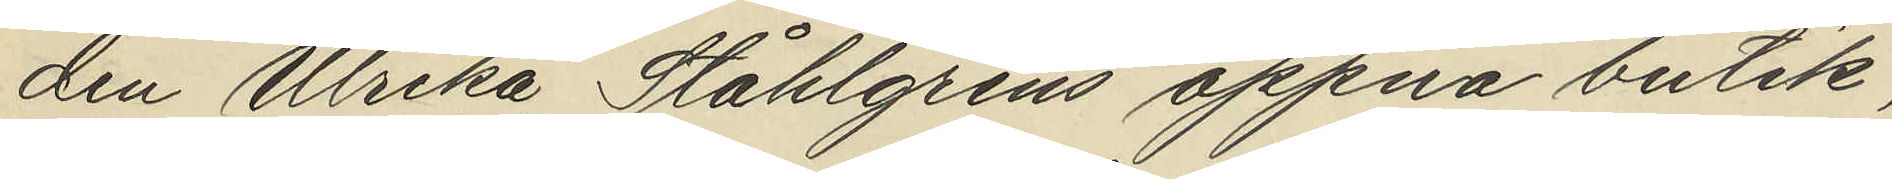den Ulrika Ståhlgrens öppna butik,
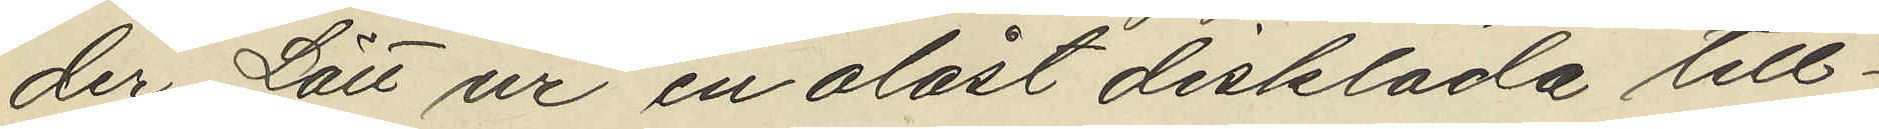der Lätt ur en olåst disklåda till¬
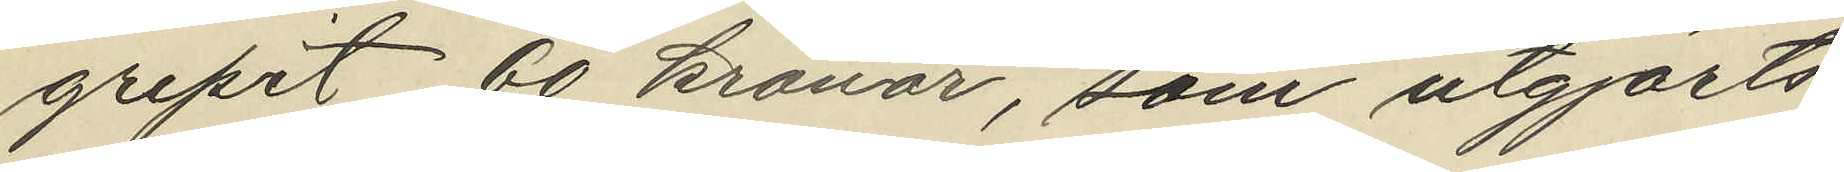gripit 60 kronor, som utgjorts
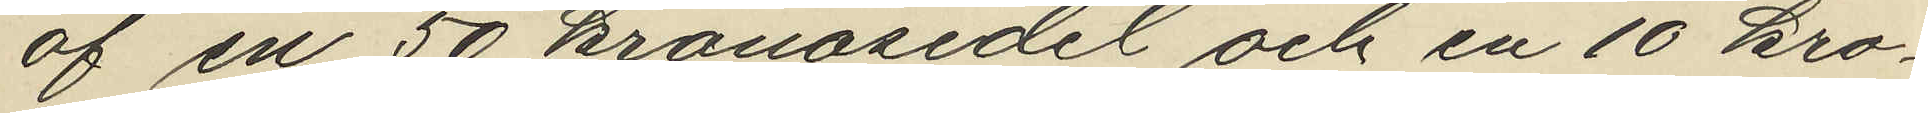af en 50 kronosedel och en 10 kro¬
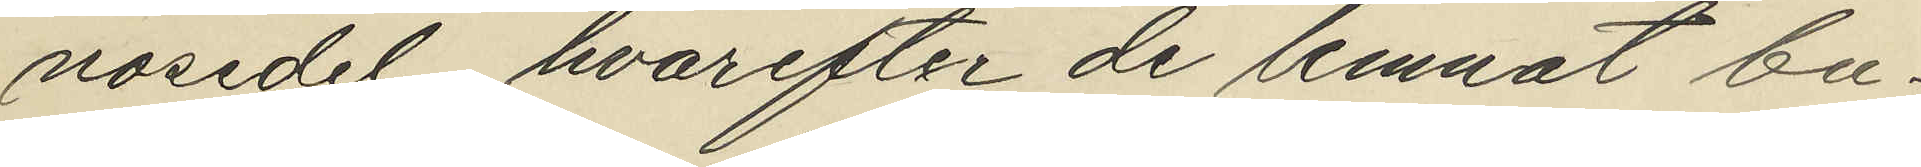nosedel, hvarefter de lemnat bu¬
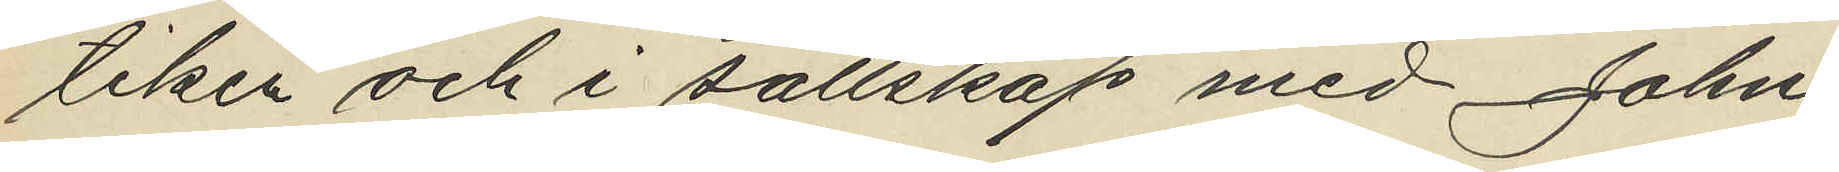tiken och i sällskap med John
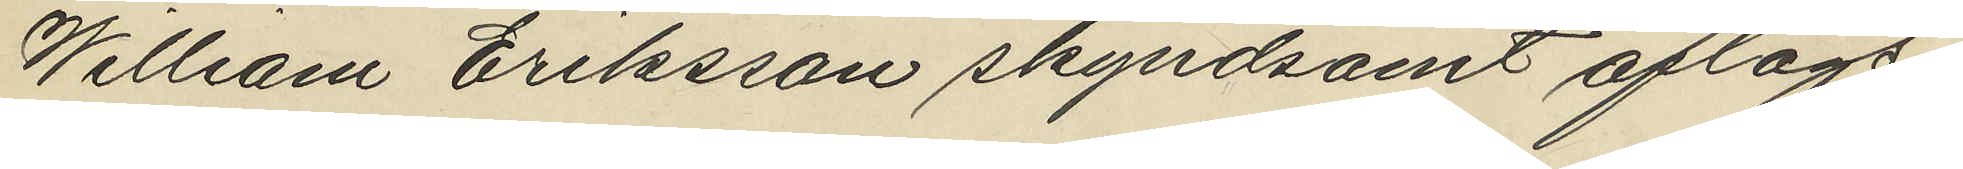William Eriksson skyndsamt aflägs¬
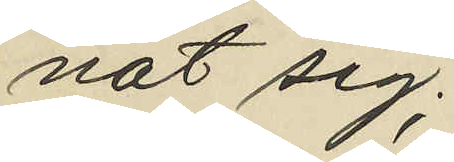nat sig;
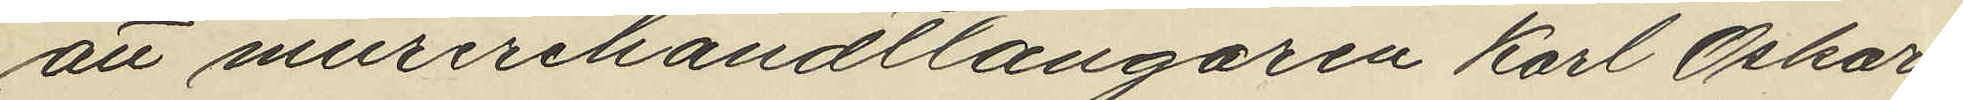att murerehandtlangaren Karl Oskar
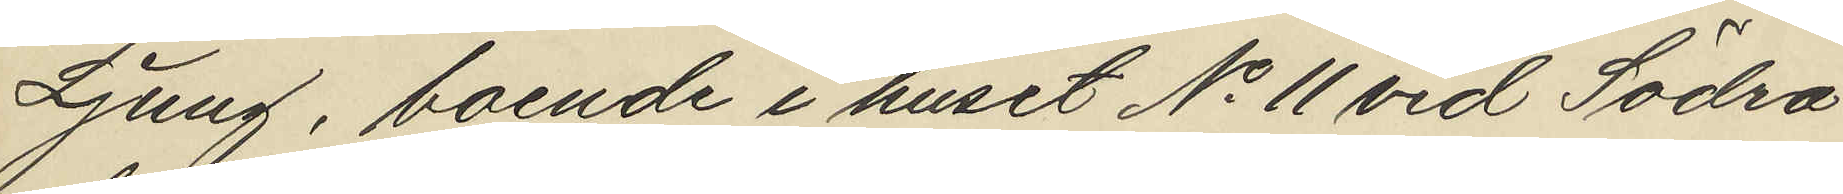Ljung, boende i huset No 11 vid Södra
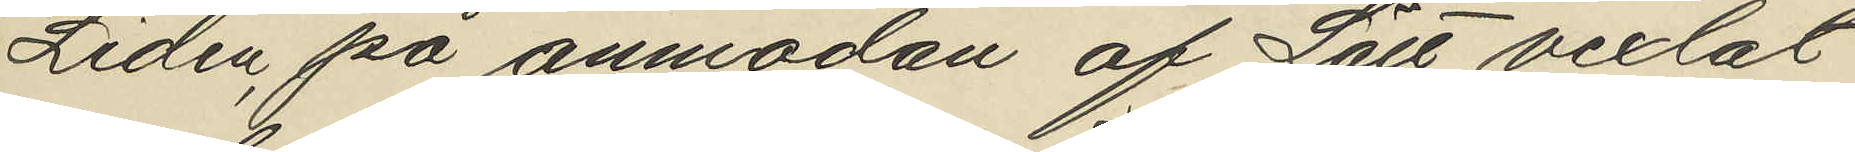Liden, på anmodan af Lätt vexlat
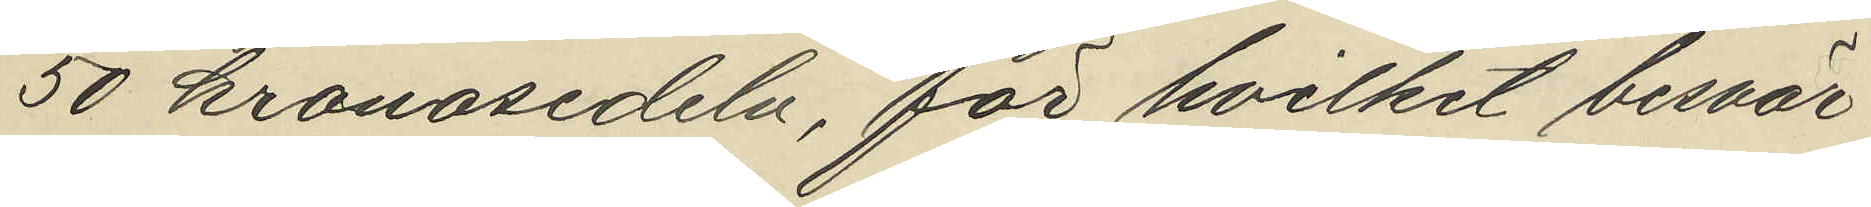50 kronosedeln, för hvilket besvär
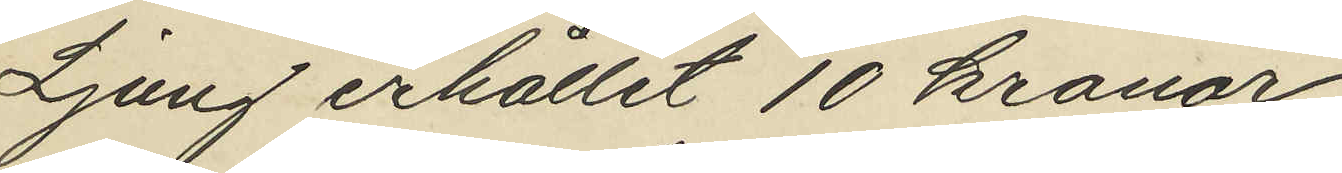Ljung erhållit 10 kronor
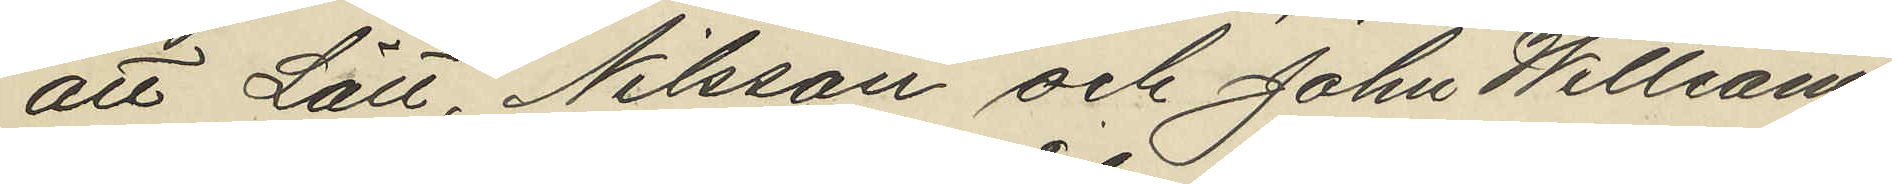att Lätt, Nilsson och John Willsam
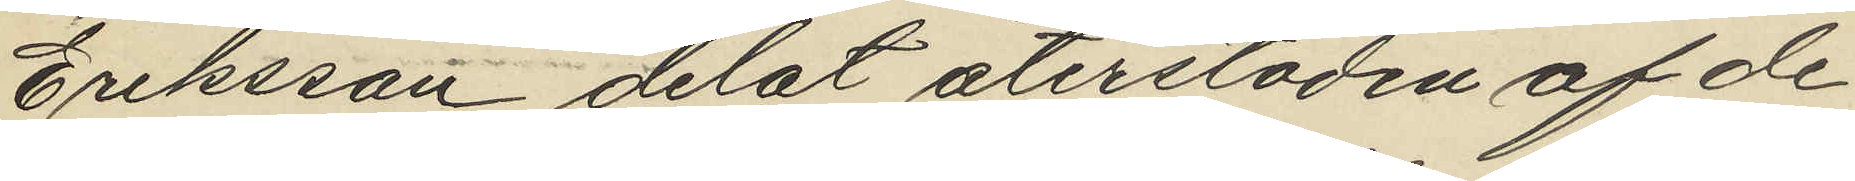Eriksson delat återstoden af de
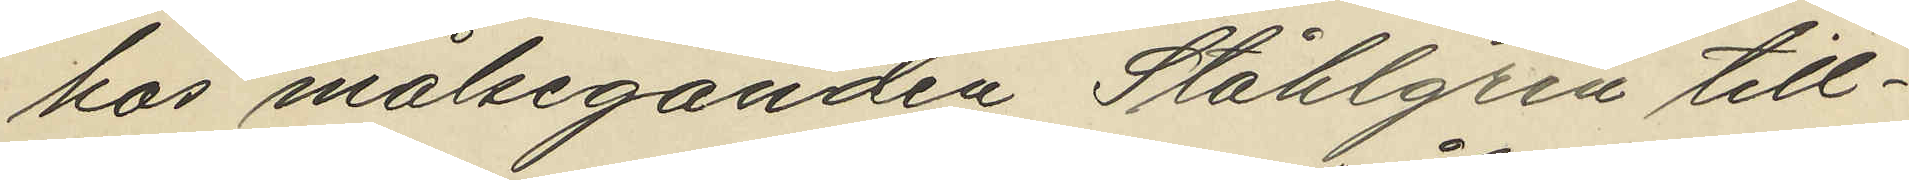hos målseganden Ståhlgren till¬
